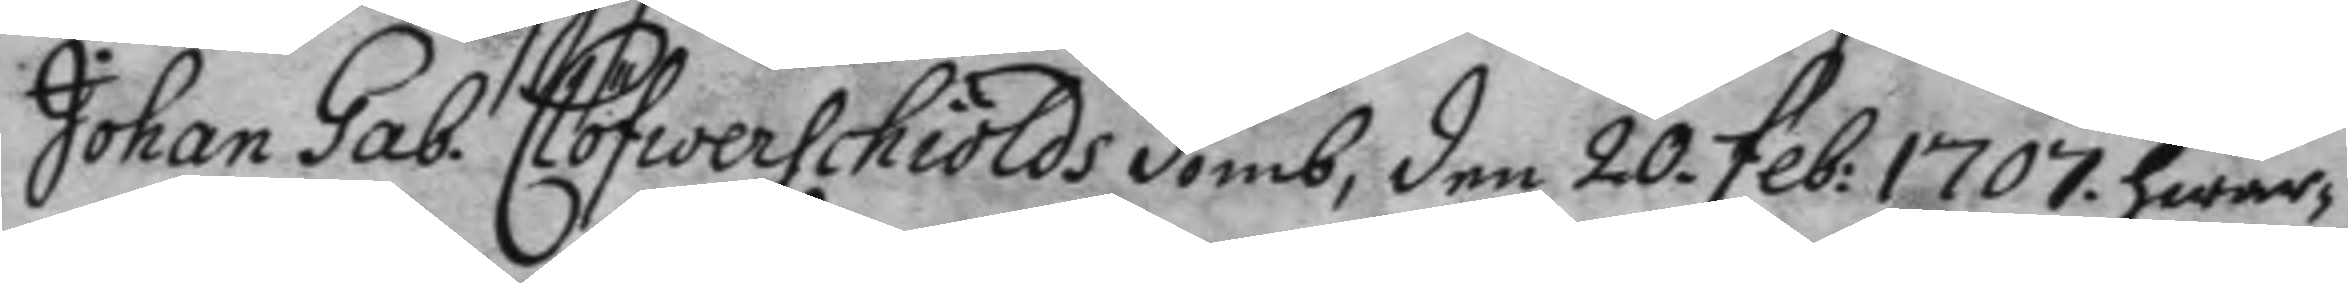Johan Gab. Clöfwerschiölds domb, den 20. feb: 1707. hwar
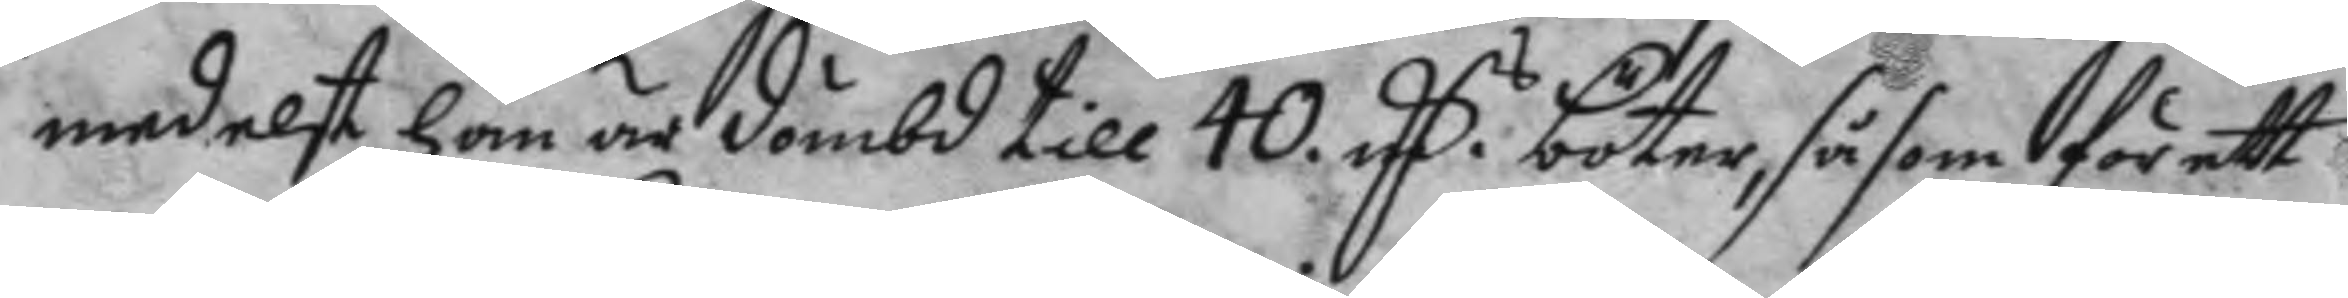medelst han är dömbd till 40. MC. böter, såsom för ett
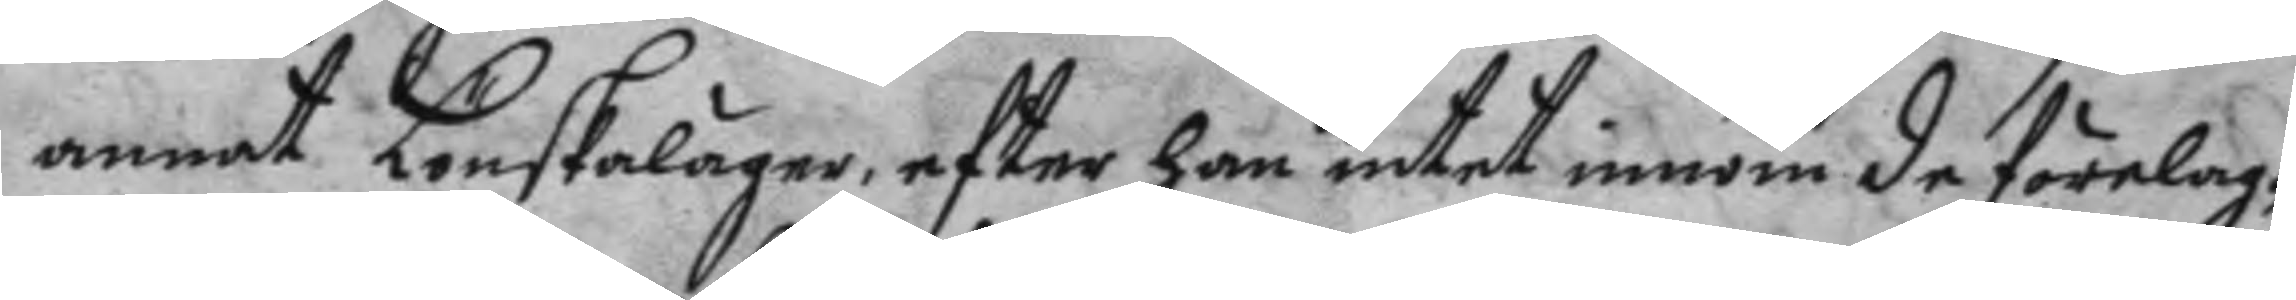annat Lönskaläger, efter han intet innom de förelag¬
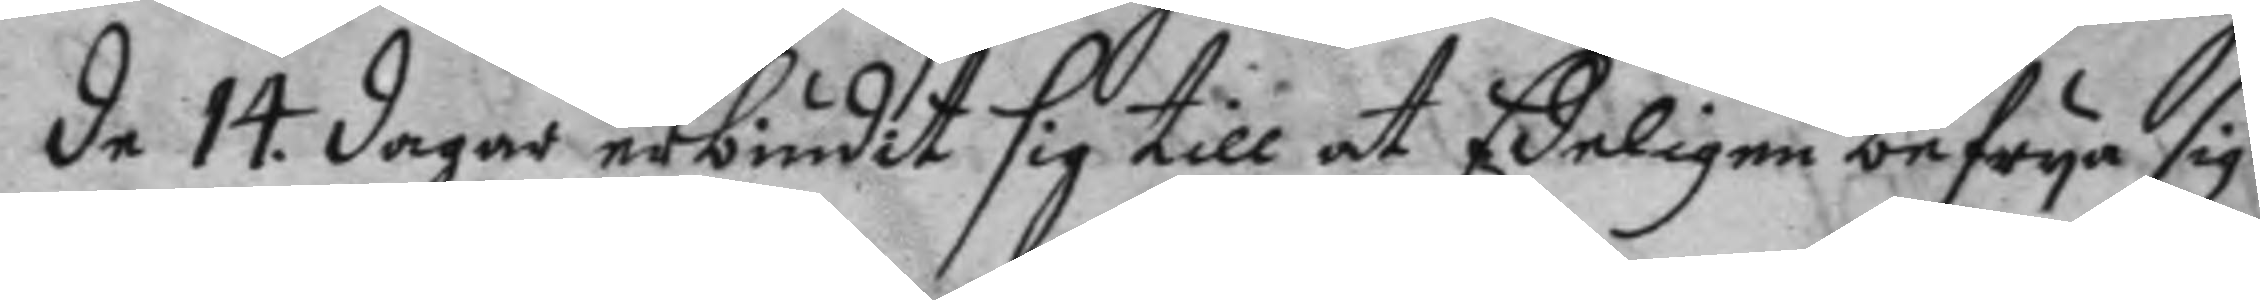de 14. dagar erbiudit sig till at Edeligen befrya sig
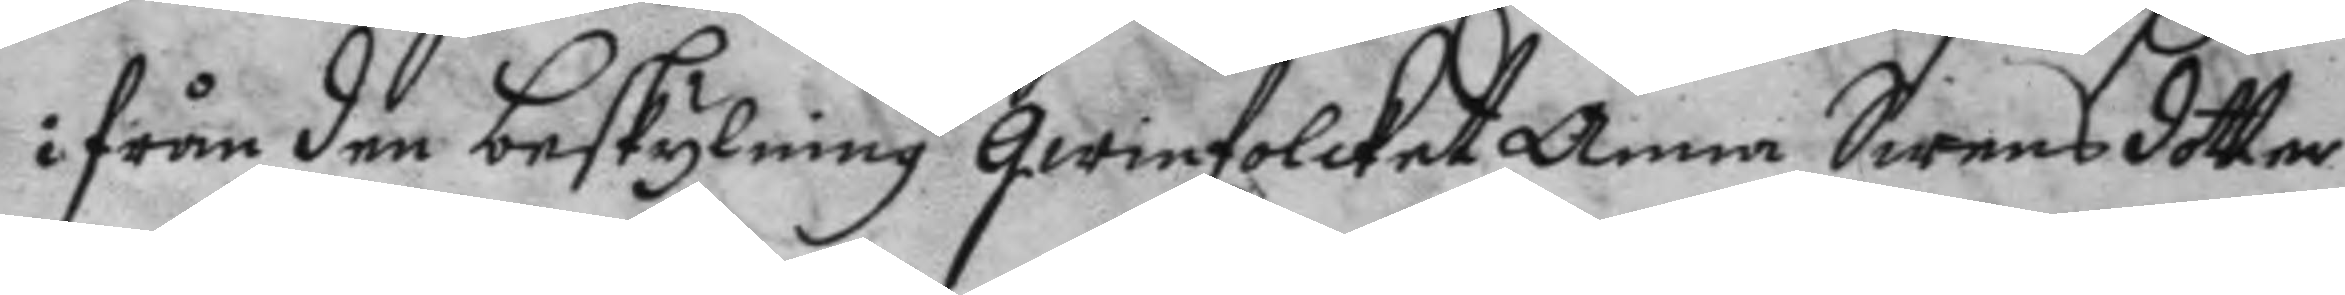ifrån den beskylning qwinfolcket Anna Swensditter
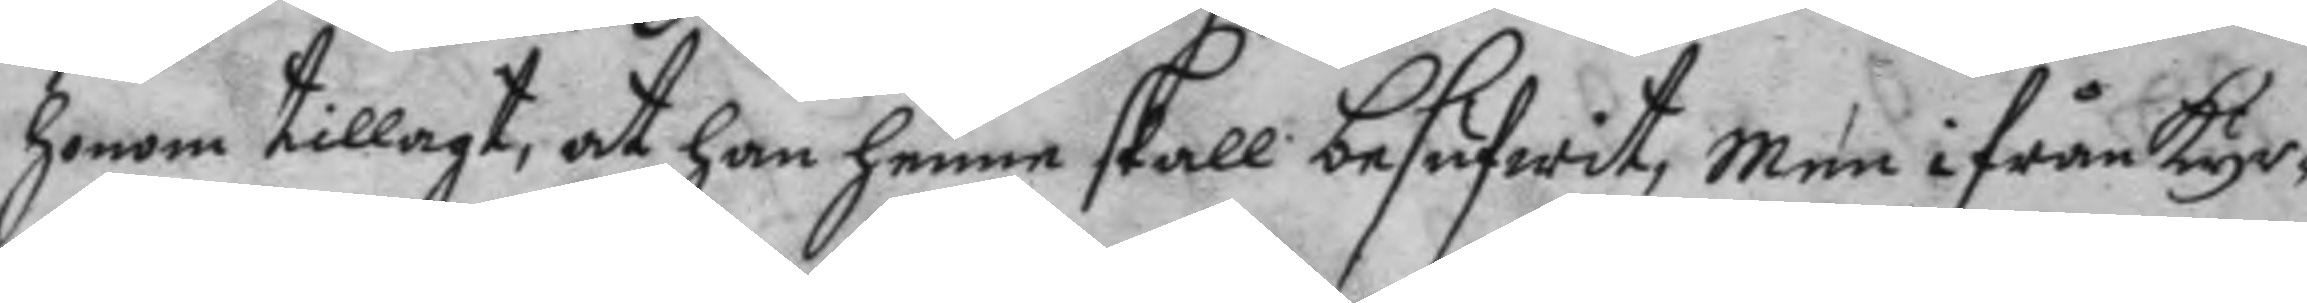honom tillagt, at han henne skall besufwit, men ifrån kyr¬
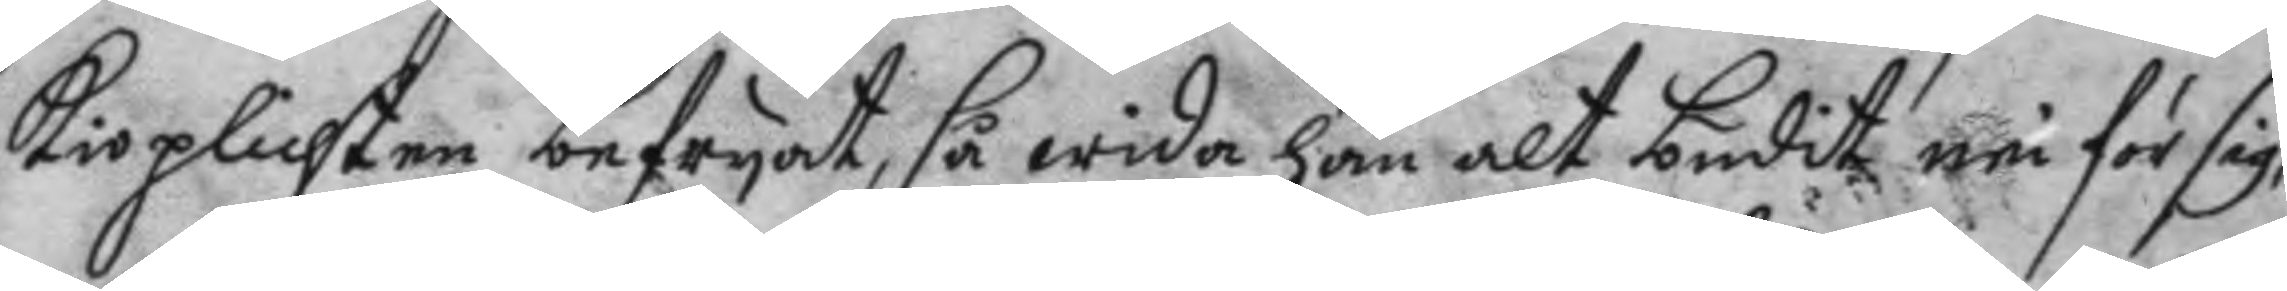kioplichten befryat, så wida han alt budit nu för sig,
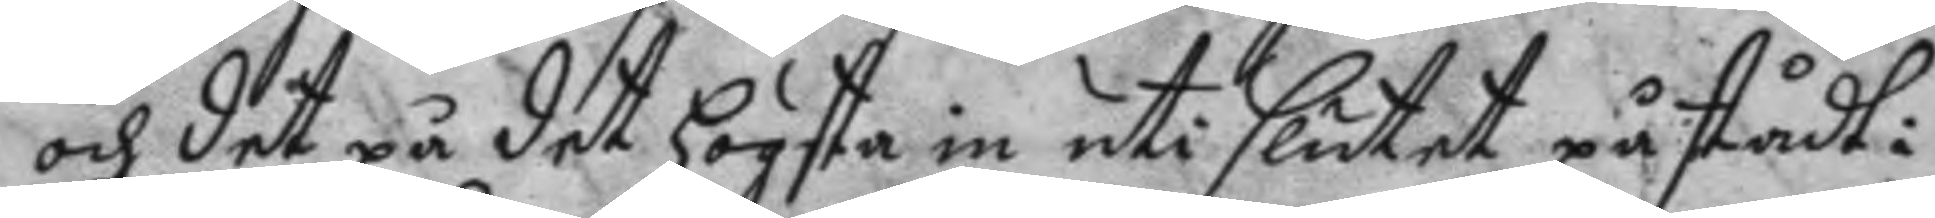och det på det högsta in uti slutet påstådt:
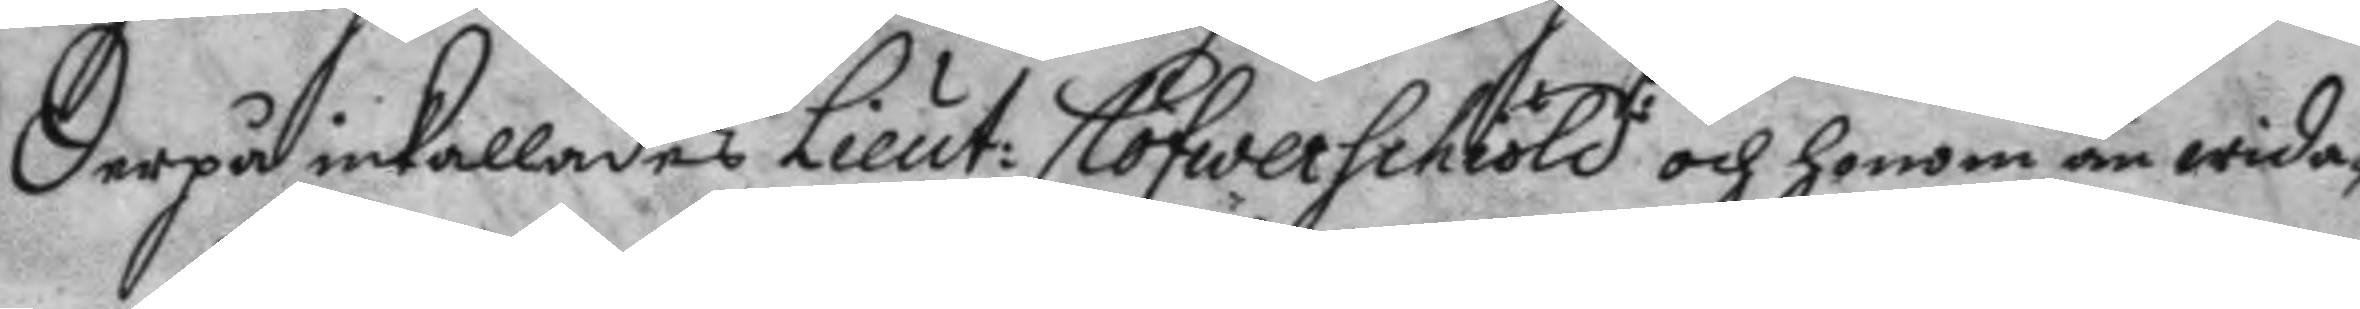Derpå inkallades Lieut: Clöfwerschöld och honom än wida¬
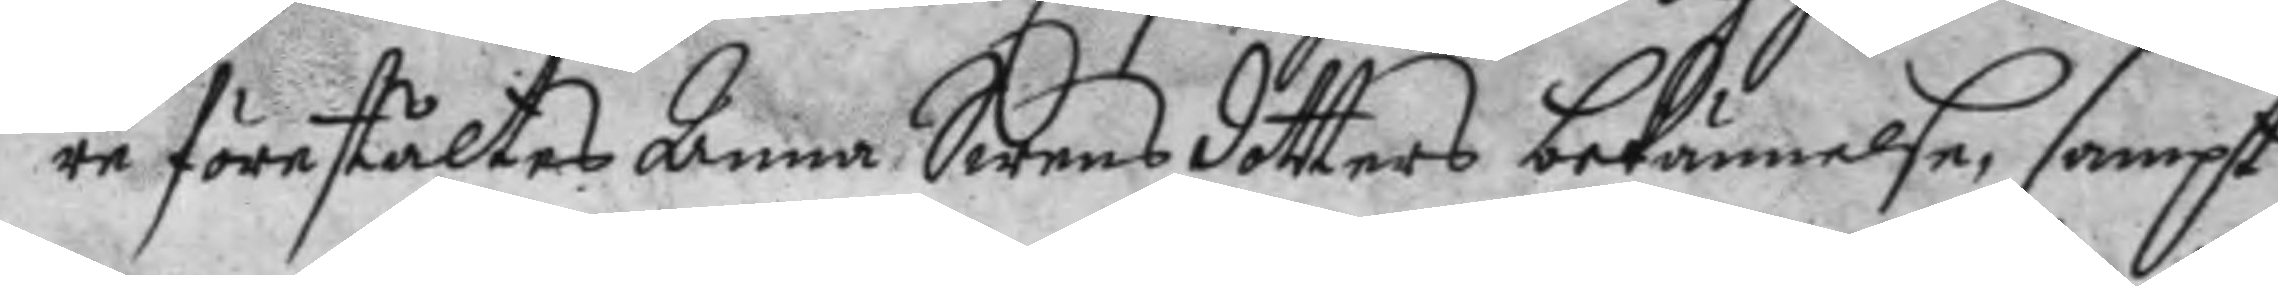re förestältes Anna Swensdotters bekännelse, sampt
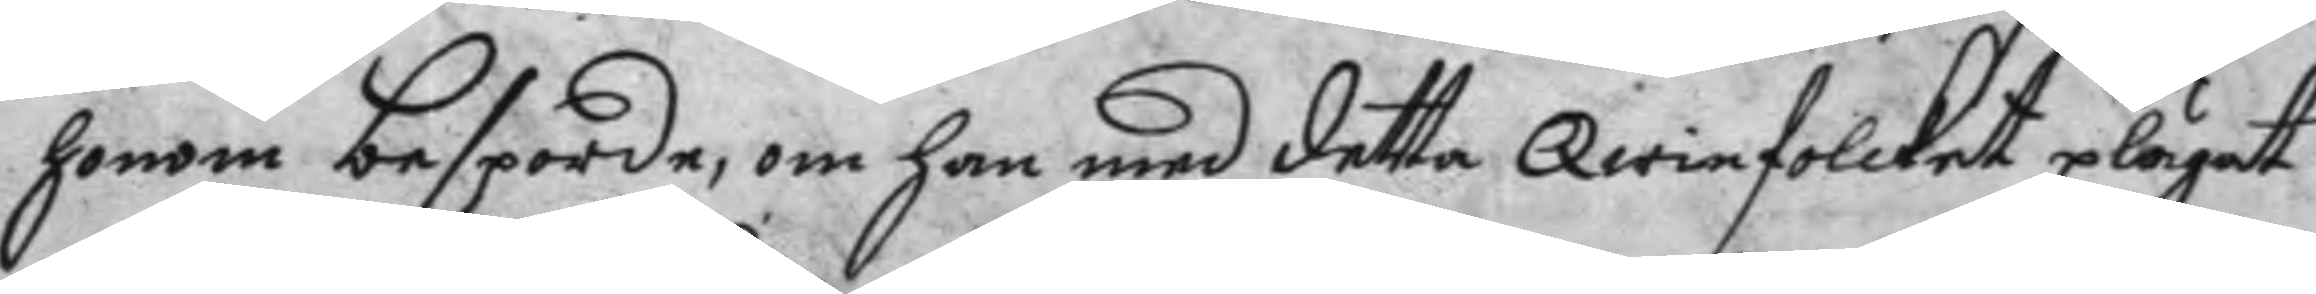honom besporde: om han med detta qwinfolcket plägat
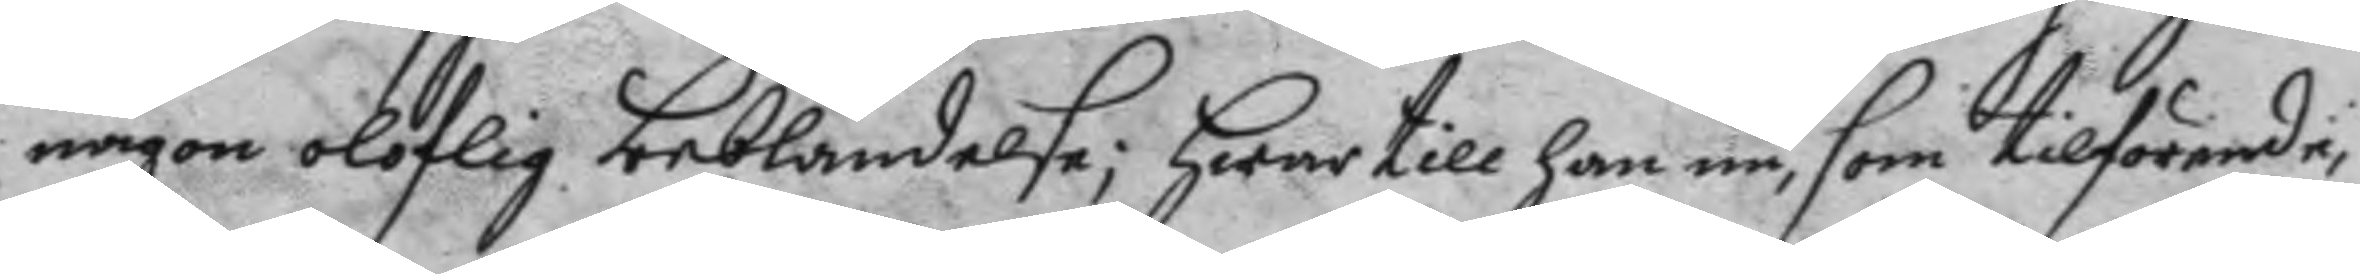någon oloflig beblandelse; hwartill han nu, som tillförende,
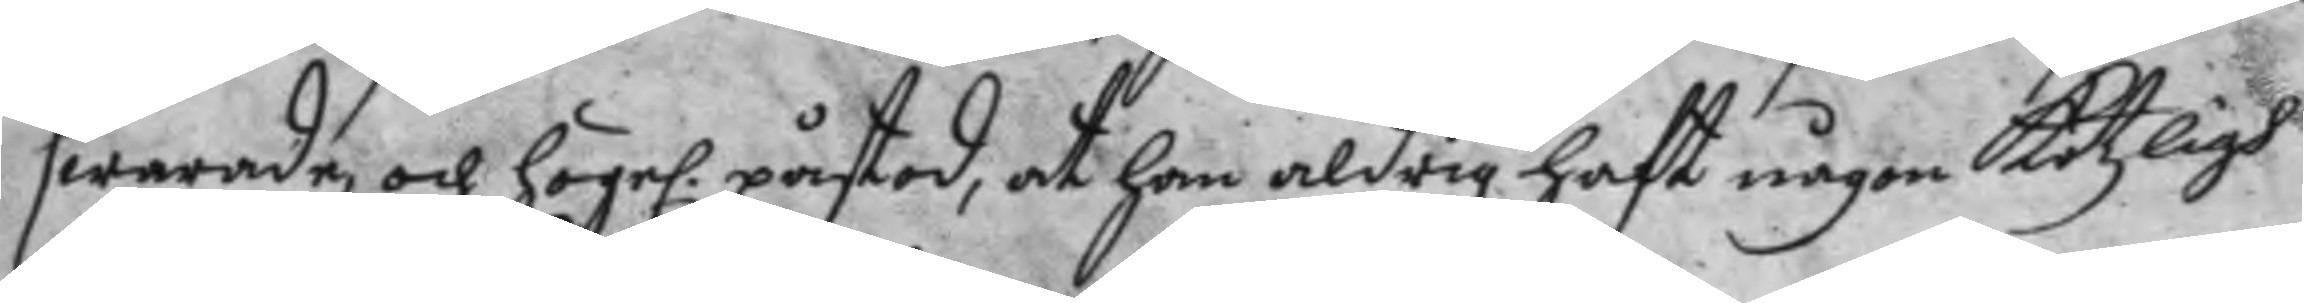swarade, och högel. påstod, at han aldrig haft någon kötzligh
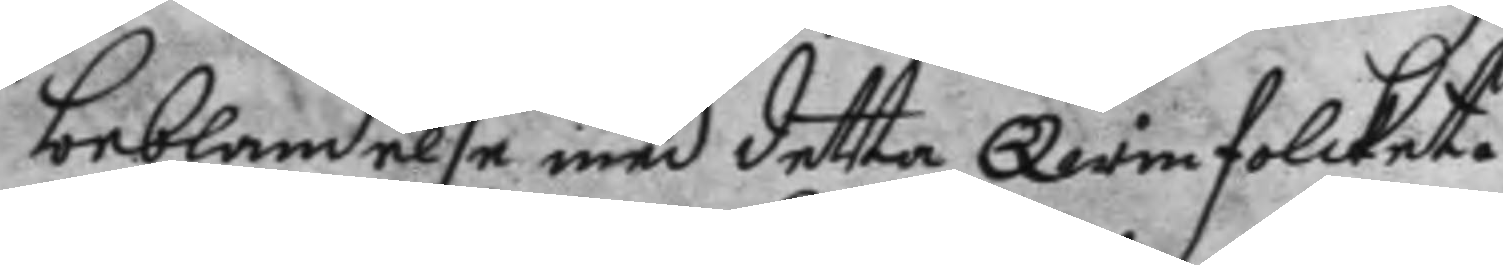beblandelse med detta Qwinfolcket.
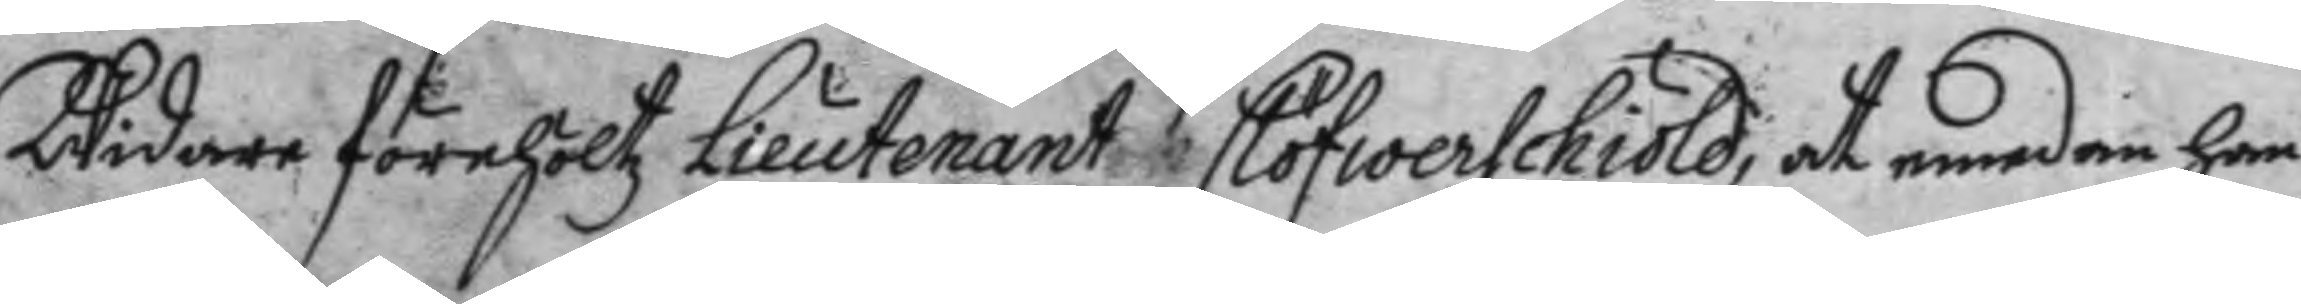Widare förehöltz Lieutnant Clöfwerschiöld, at emedan han
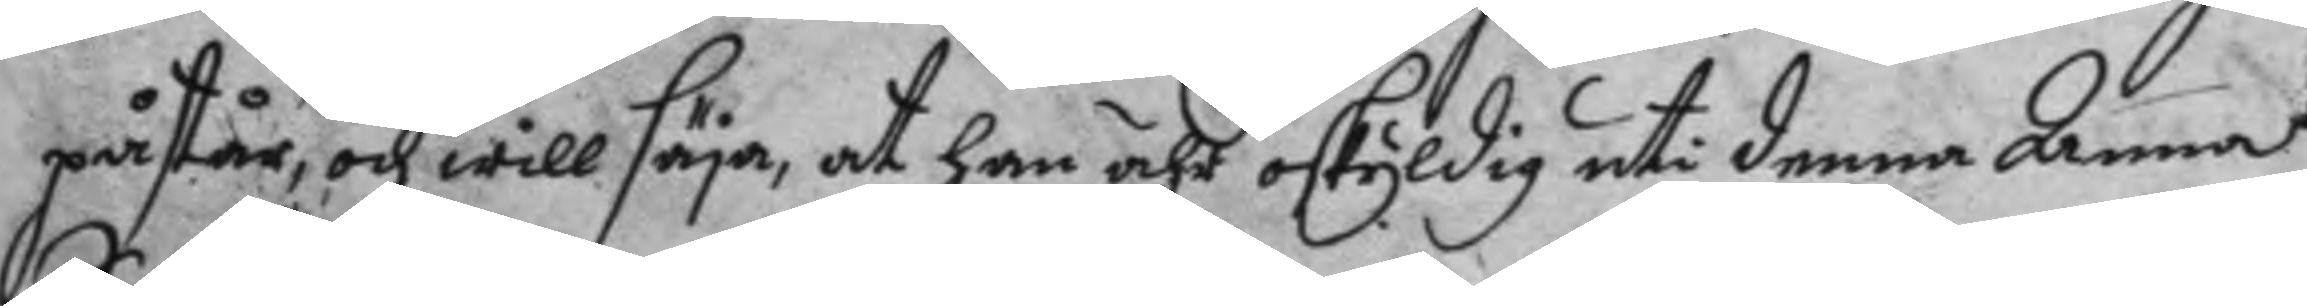påstår och will säya at han är oskyldig uti denna Anna
